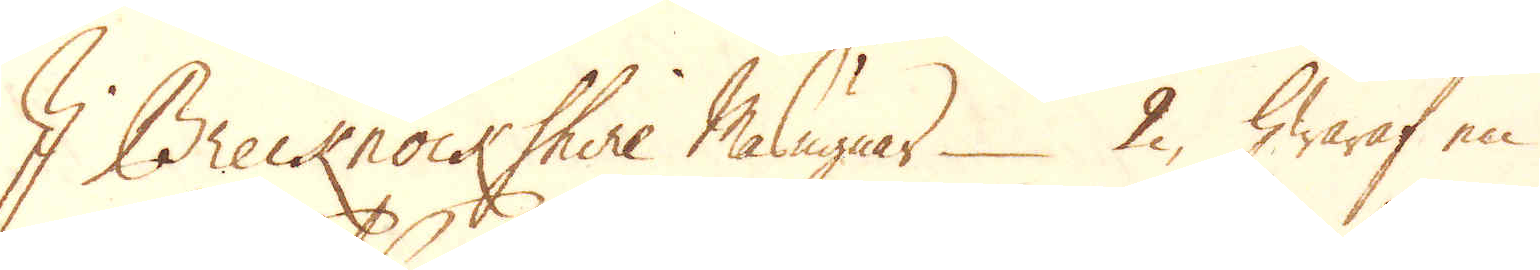I Brecknock Shire Masugnar 2, hwaraf en
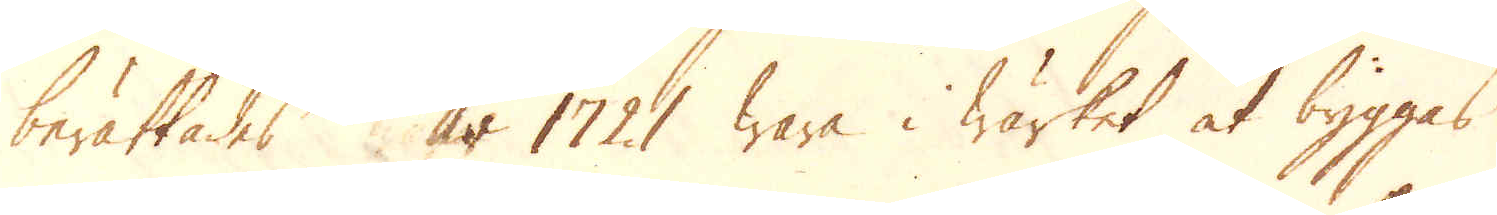berättades år 1721 wara i wärket at byggas
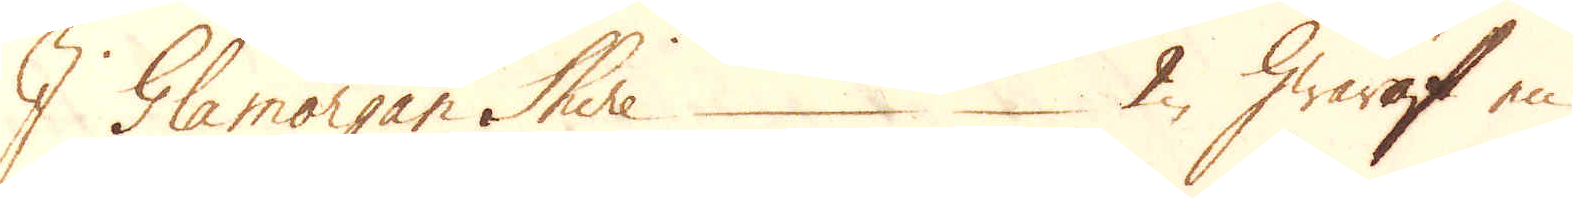I Glamorgan Shire 2, hwaraf en
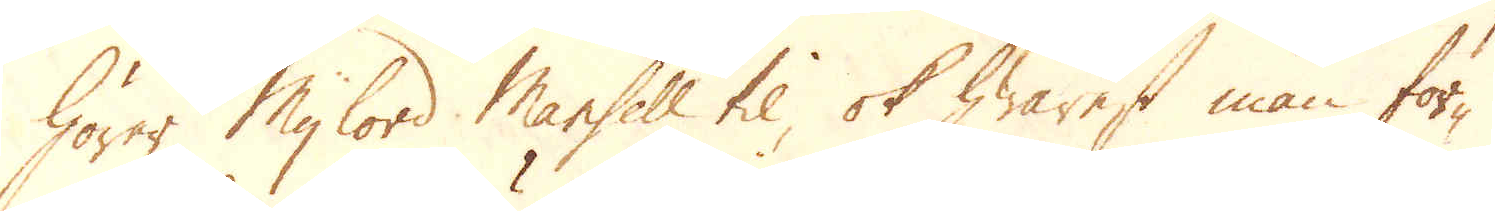hörer Mylord Mansell til, ok hwarest man för-
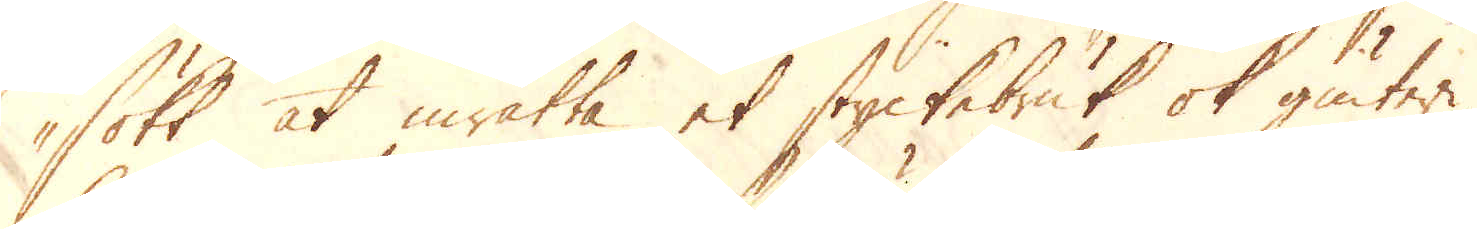sökt at inrätta et styckebruk ok giuteri,
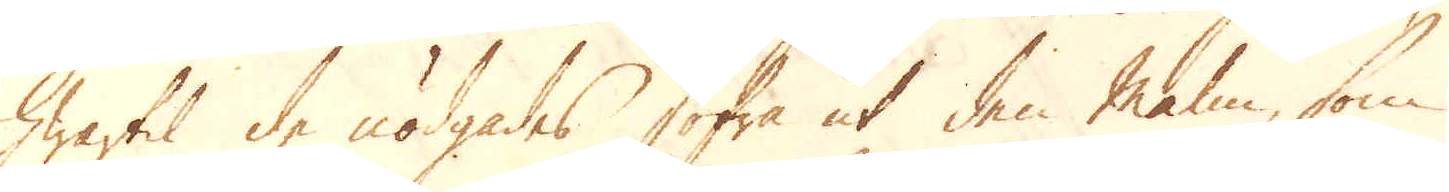hwartil de nödgades sofra ut den malm, som
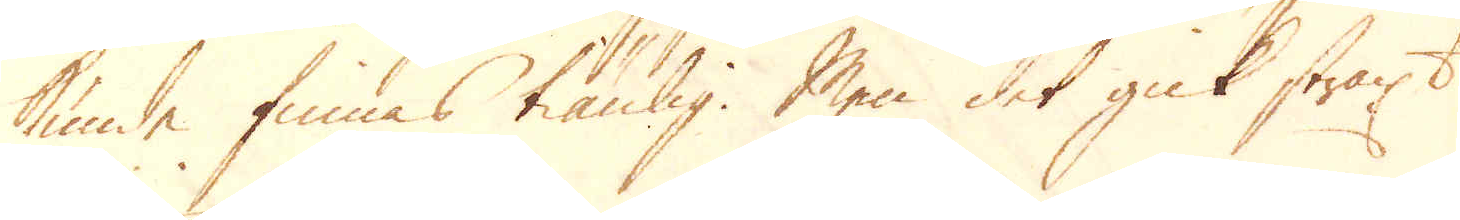kunde finnas tiänlig. Men det gick straxt
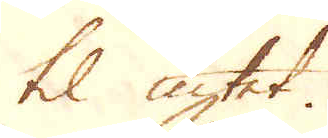til intet.
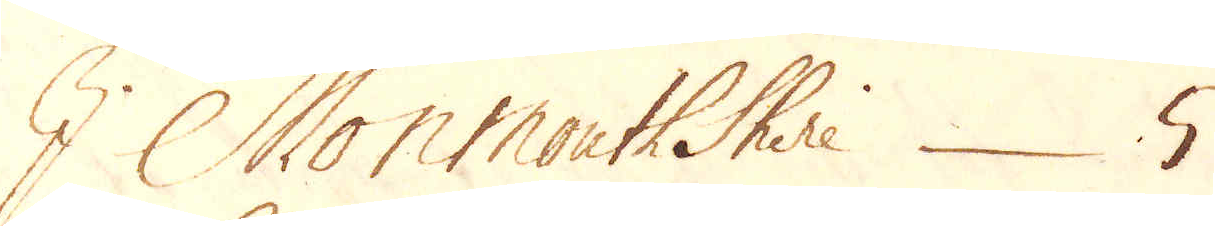I Monmouth Shire 5
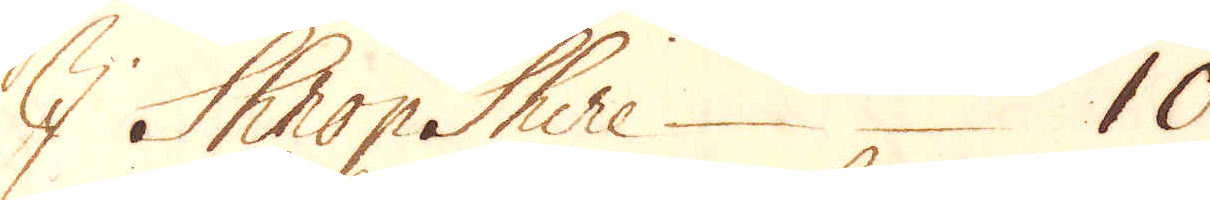I Shrop Shire 10
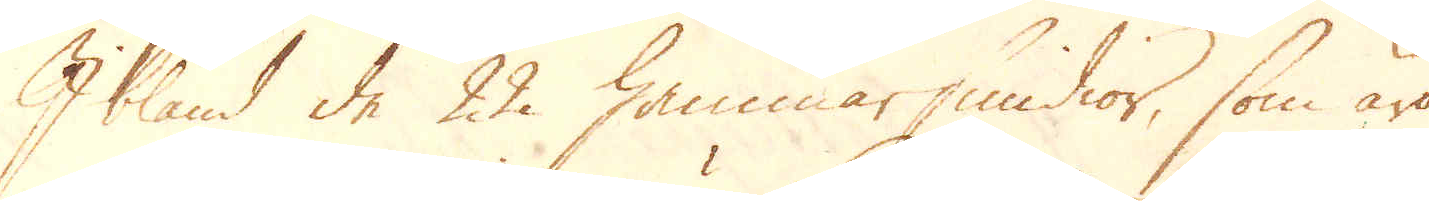Ibland de 22 hammarsmidior, som äro
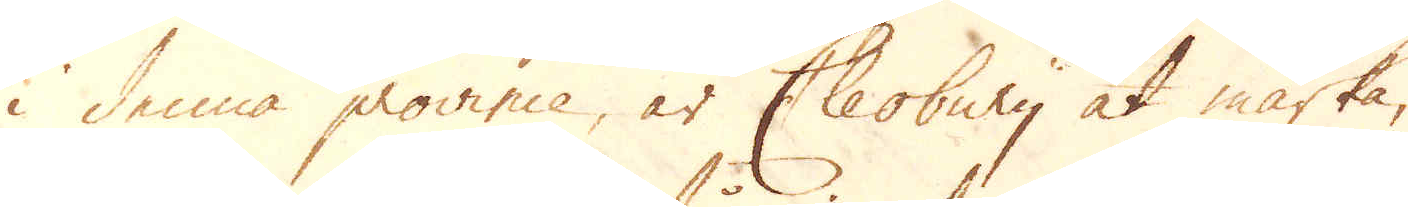i denna province, är Cleobury at märka,
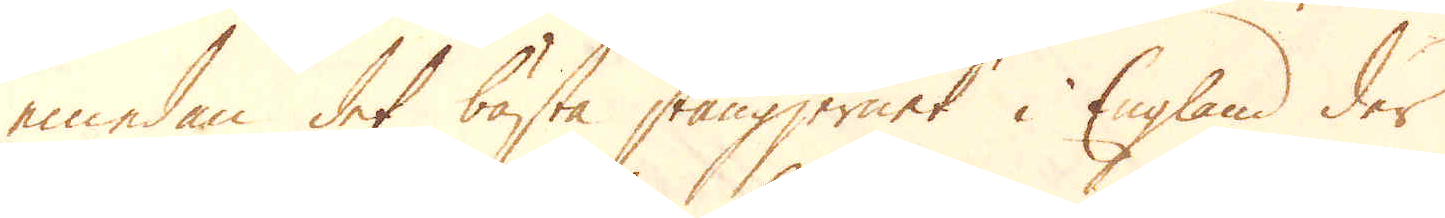emedan det bästa stångjernet i England der
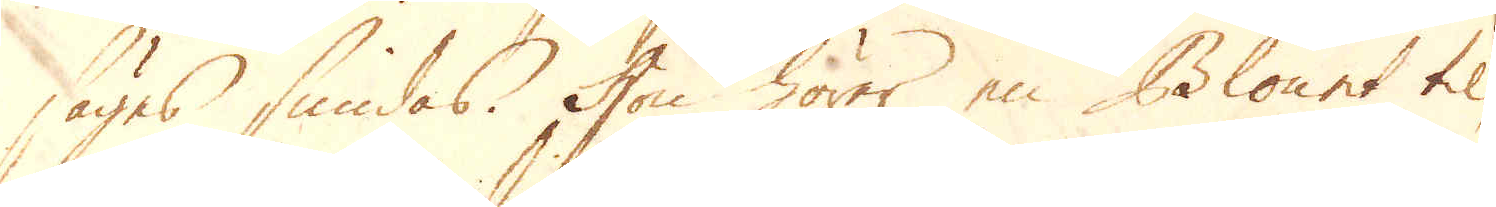säges smidas. Hon hörer en Blount til
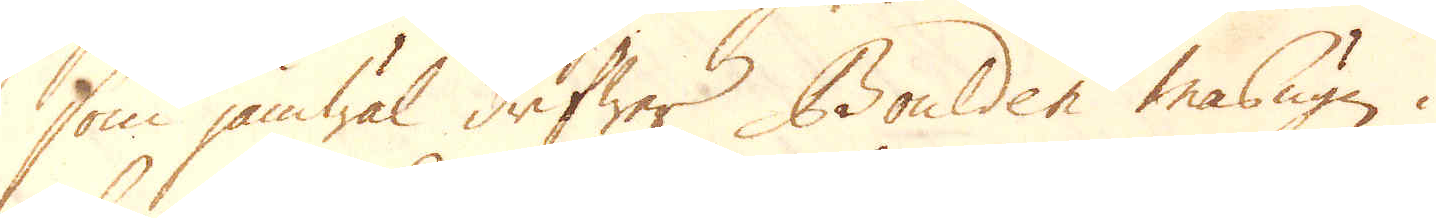som jämwäl drifwer Boulden Masugn i
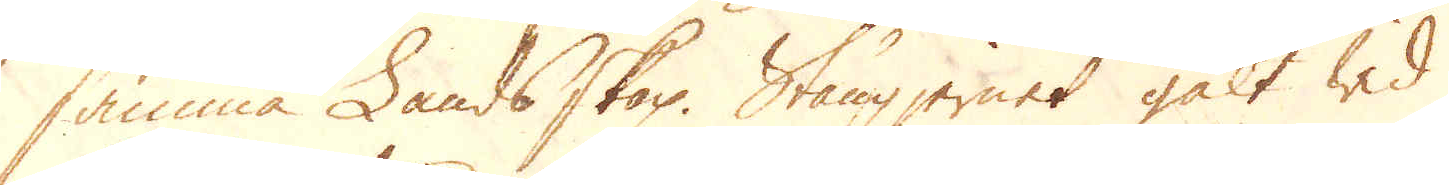samma Lands skap. Stångjernet galt wid
